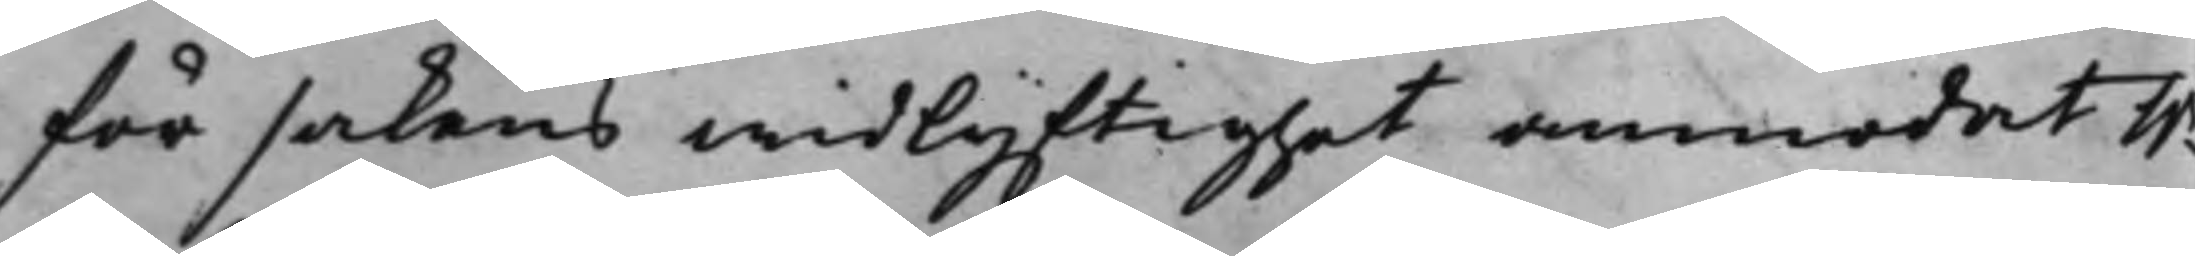för sakens widlyftighet anmodat h.r
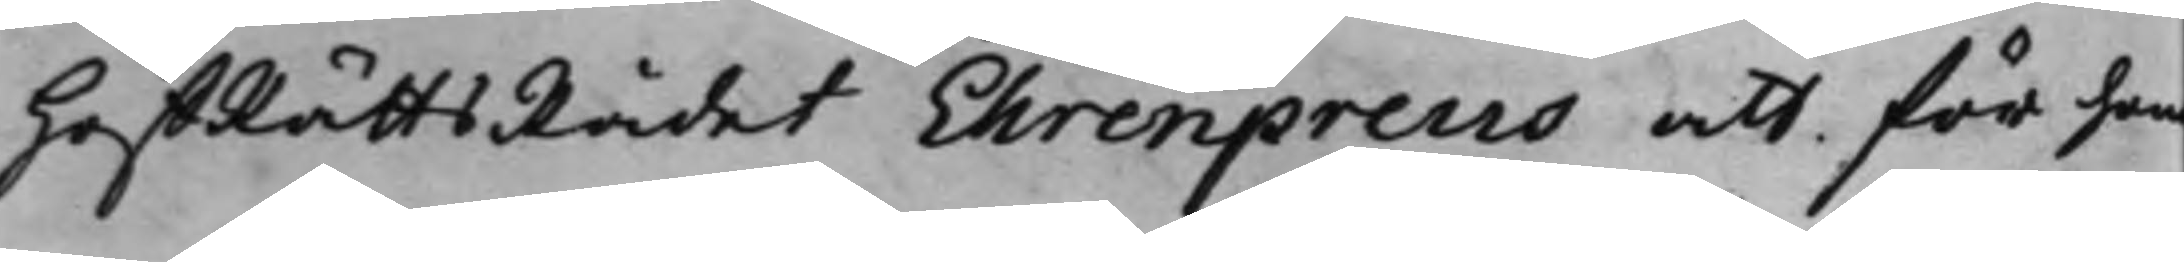HoffRättsRådet Ehrenpreus att för hon
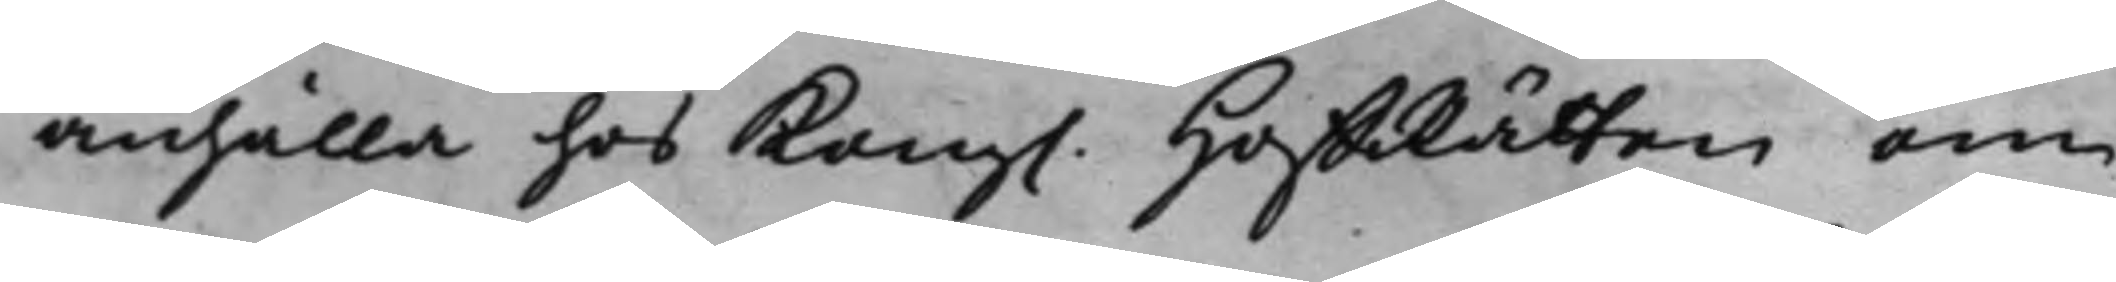anhålla hos Kong. HoffRätten om
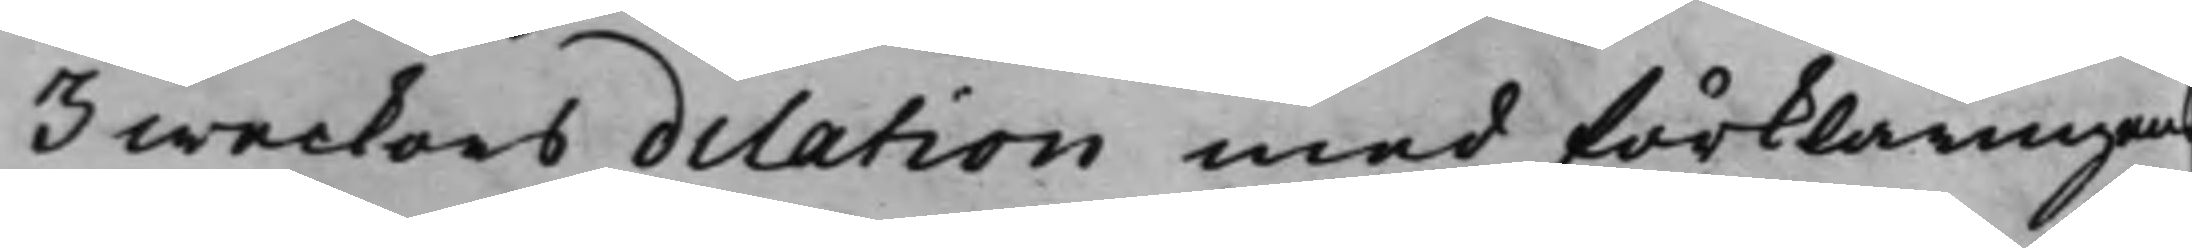3 weckors dilation med förklaringens
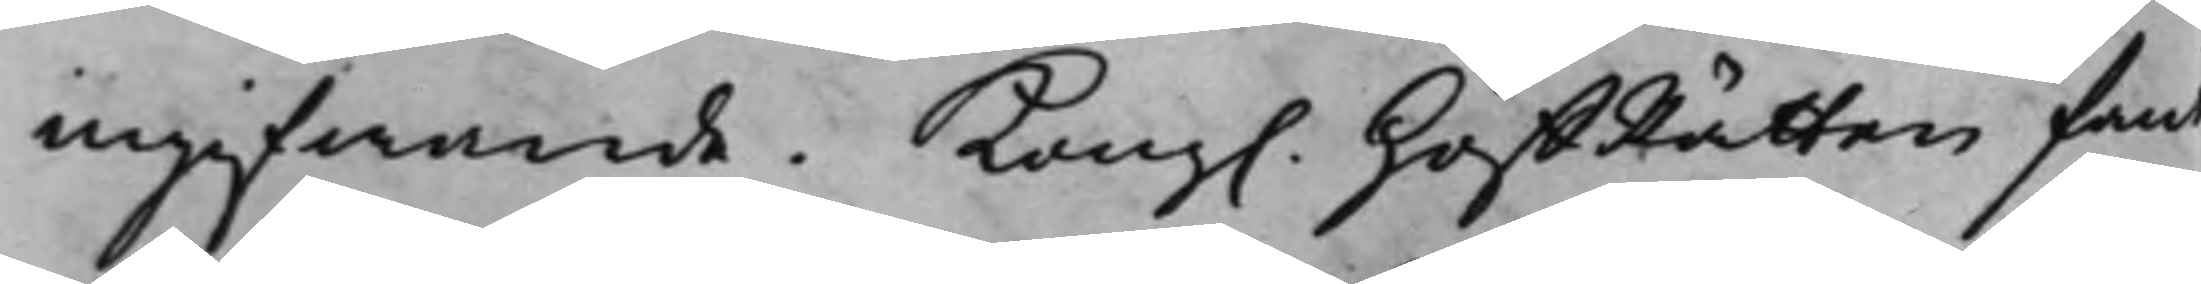ingifwande. Kong. HoffRätten fant
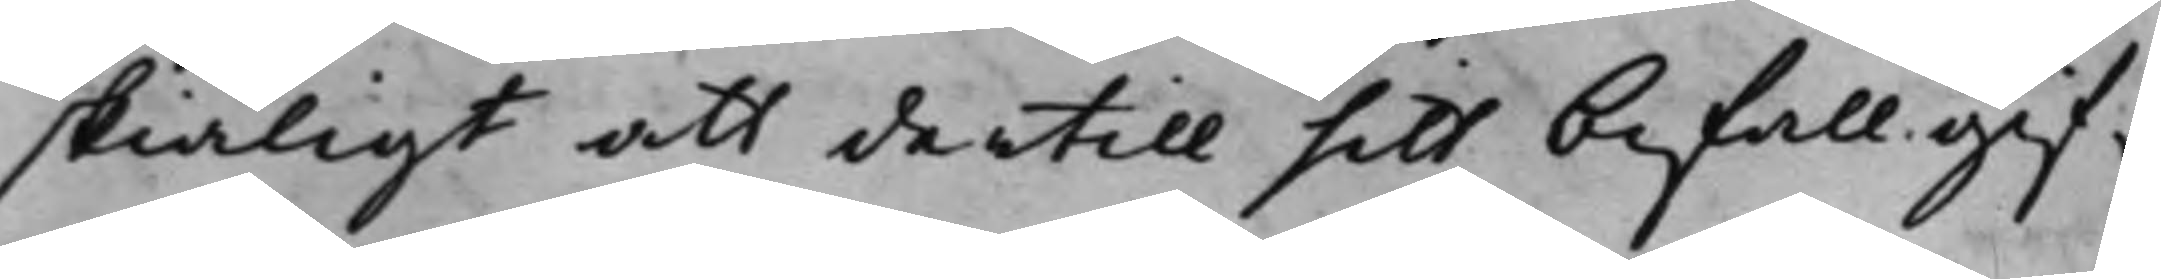skiäligt att dertill sitt bifall gif¬
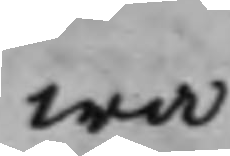wa.
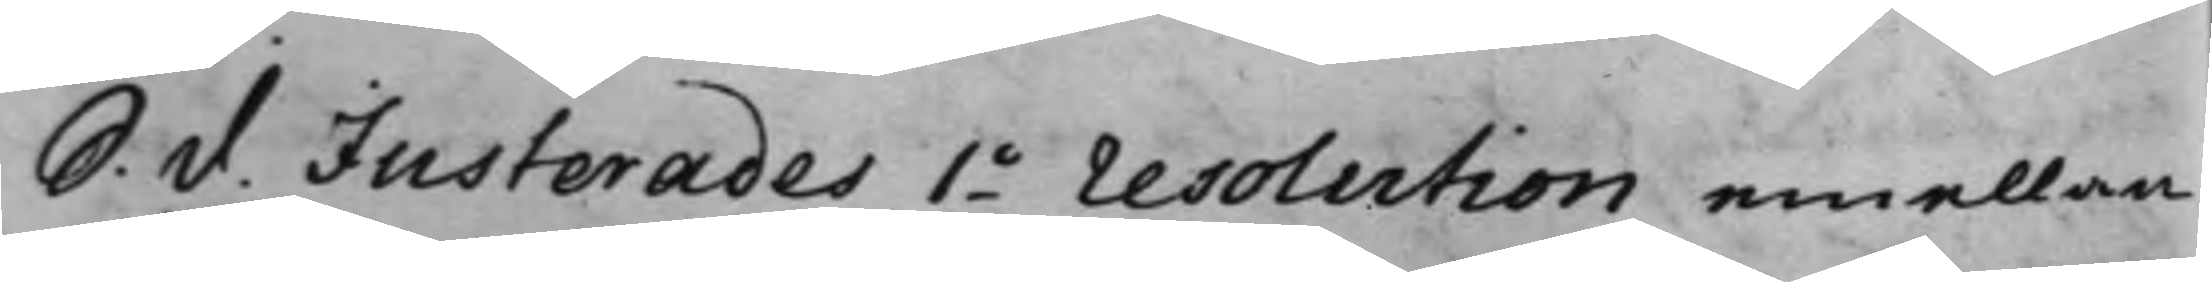S. d. Justerades 1o resolution emellan
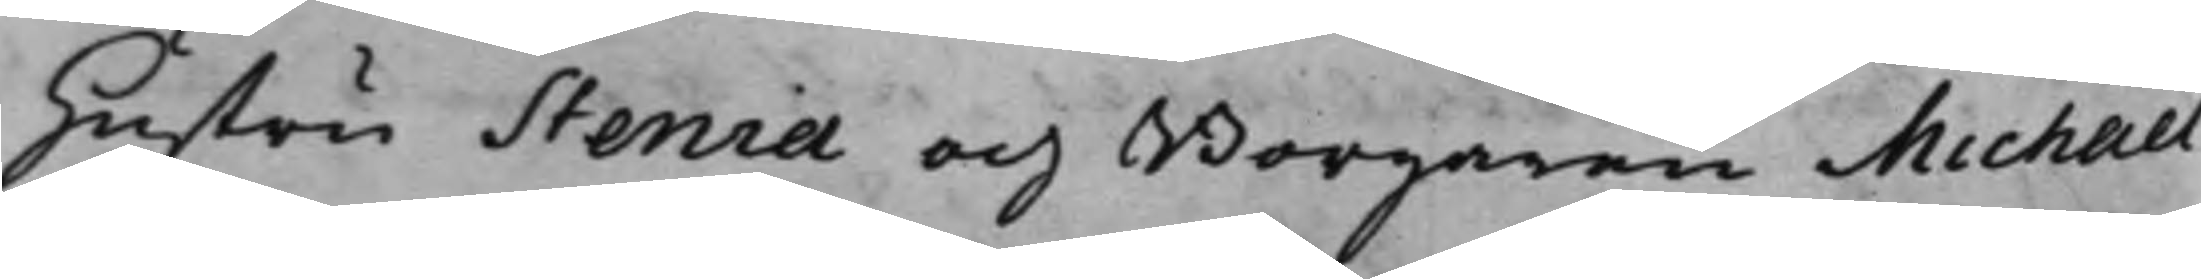Hustru Stenia och Borgaren Michael
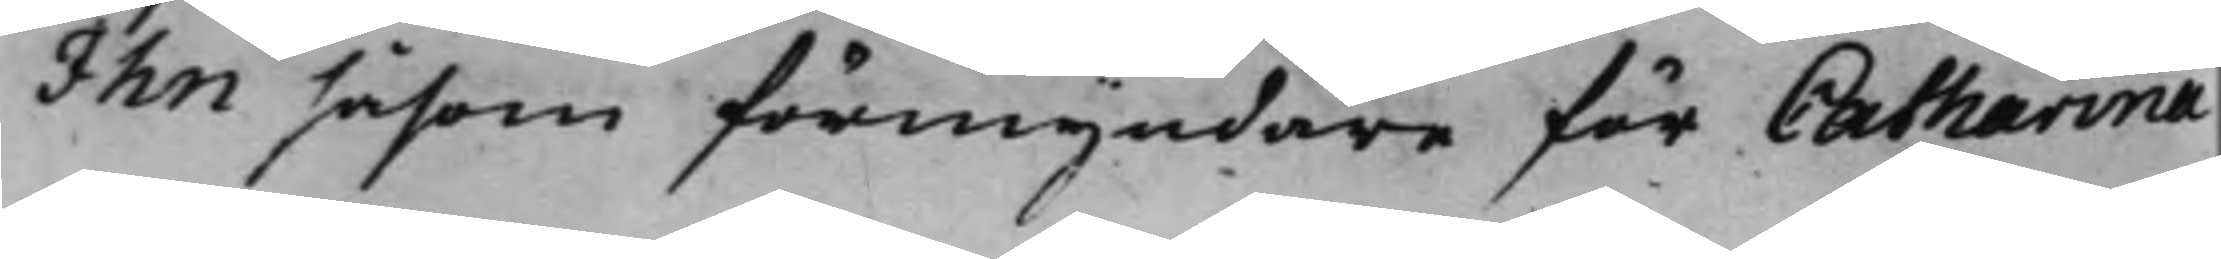Ihn såsom förmyndare för Catharina
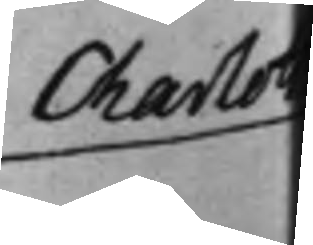Charlot
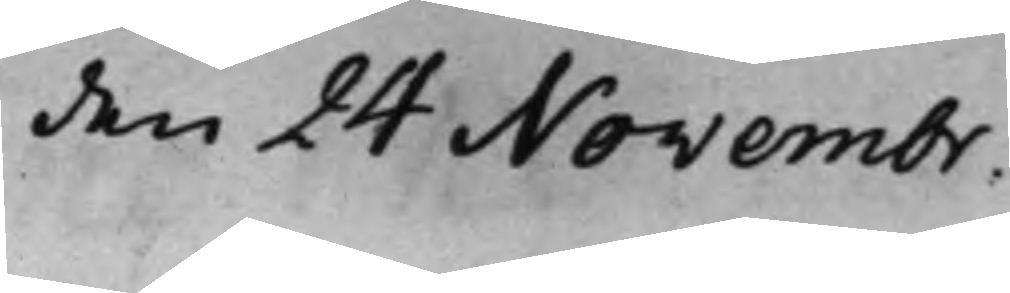den 24 Novembr.
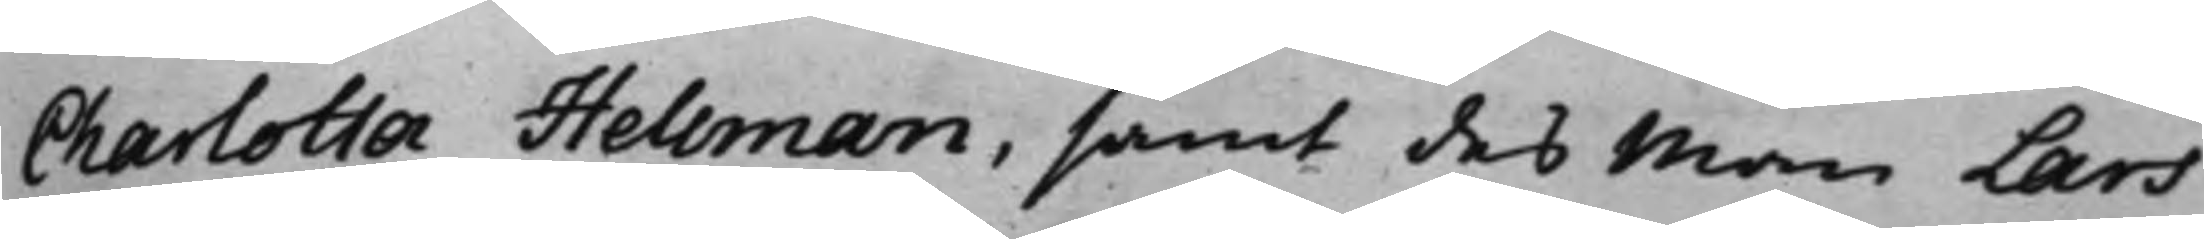Charlotta Hellman, samt des Man Lars
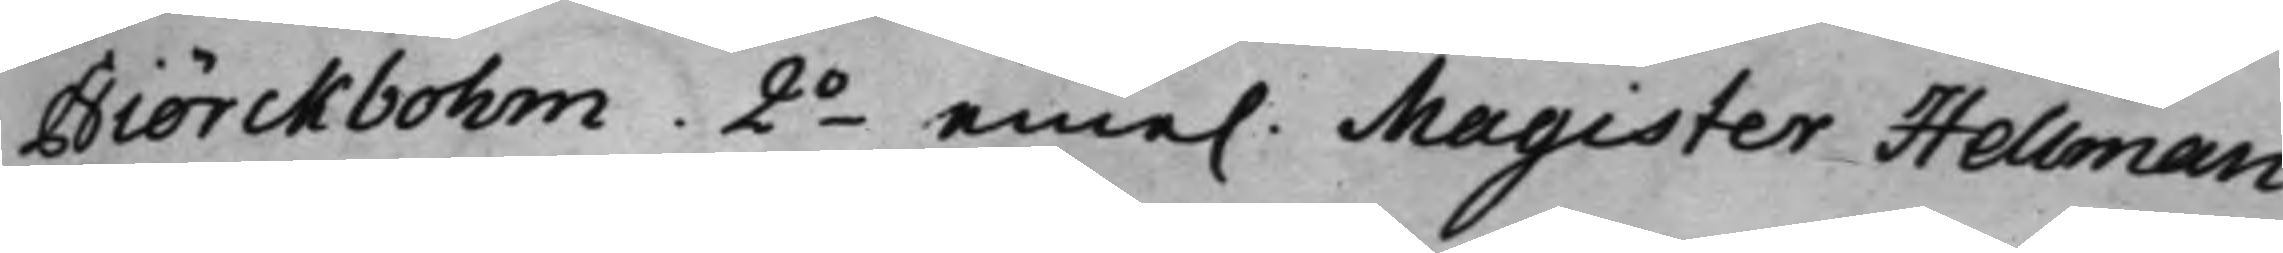Biörckbohm, 2o eme. Magister Hellman
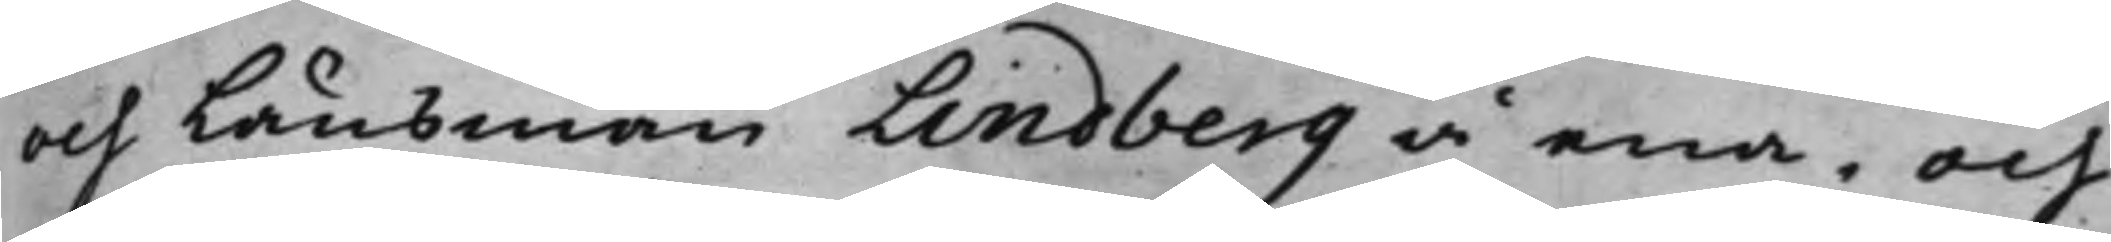och Länsman Lindberg å ena, och
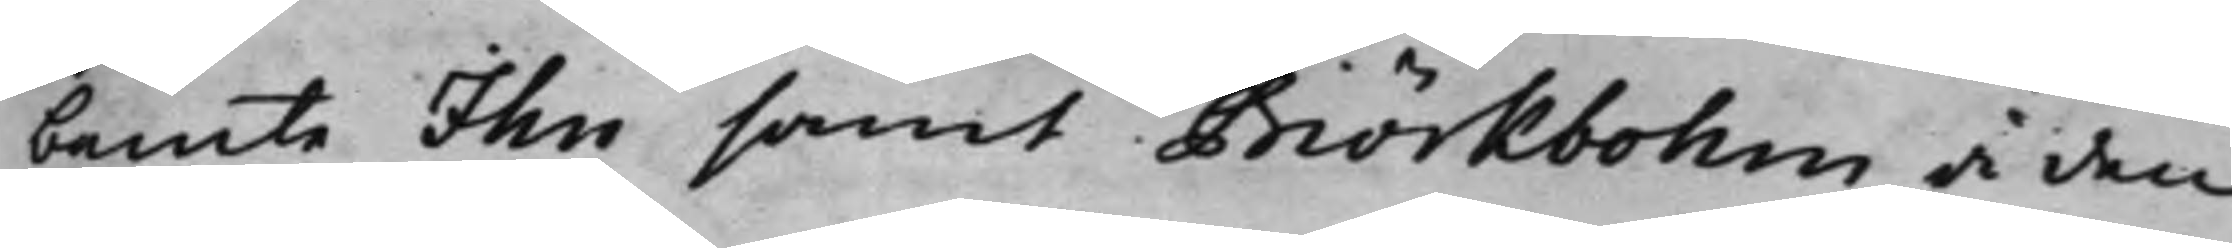bemte Ihn samt Biörkbohm å den
